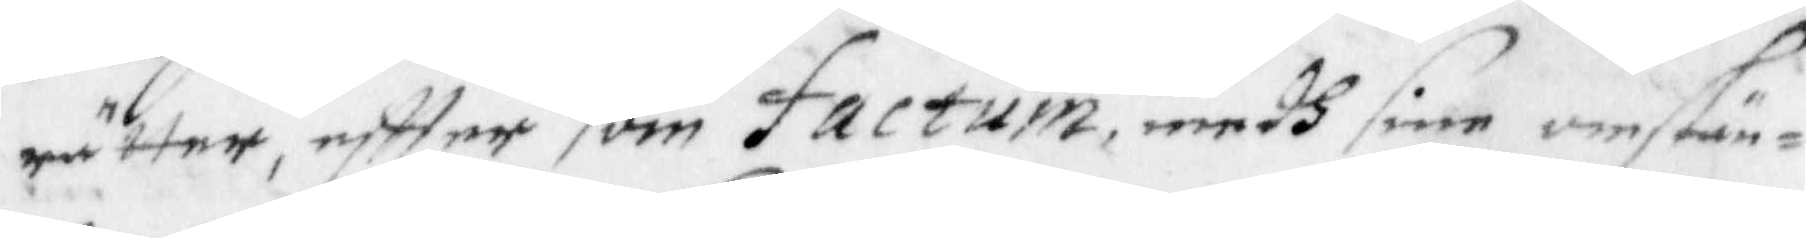rätter, eftter som factum, medh sine omstän¬
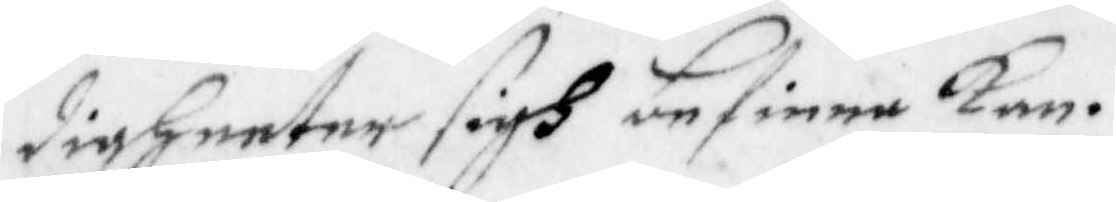digheeter sigh befinna kan.
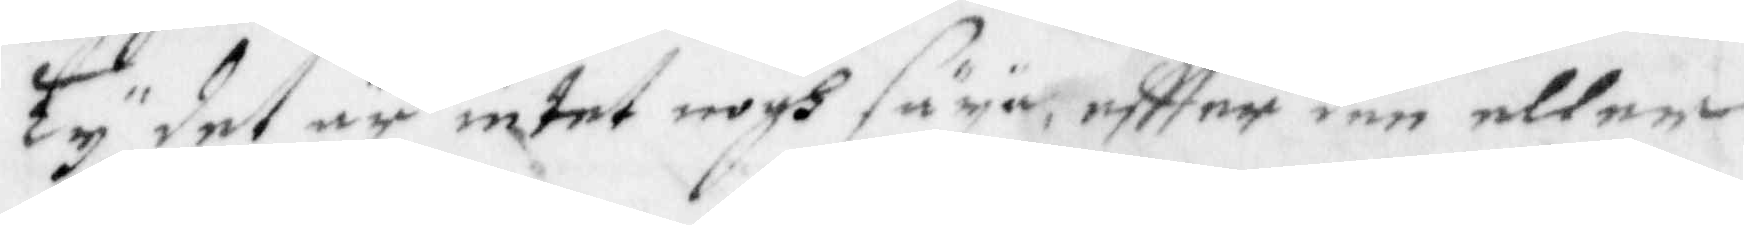Ty det är intet nogh säya, eftter den 
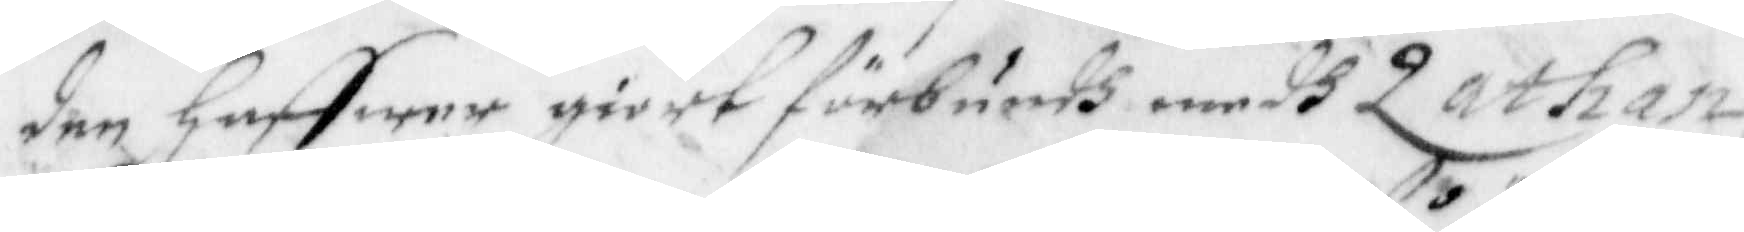eller den haffwer giort förbundh medh Zathan,
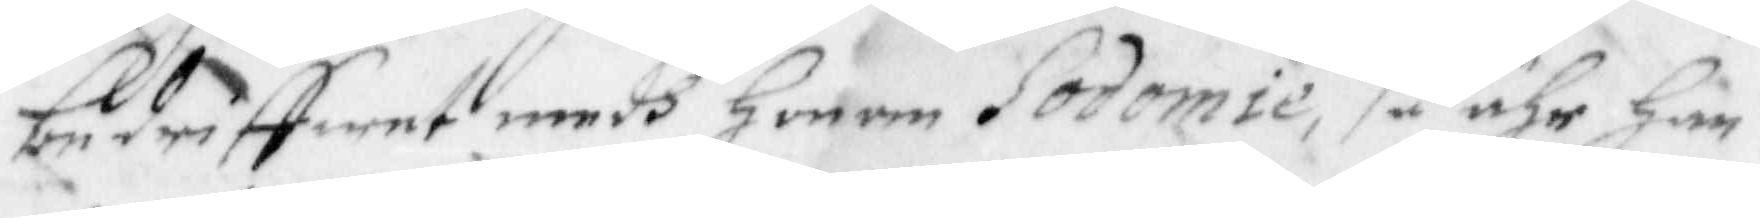bedriffwer medh Honom Sodomie, så ähr han
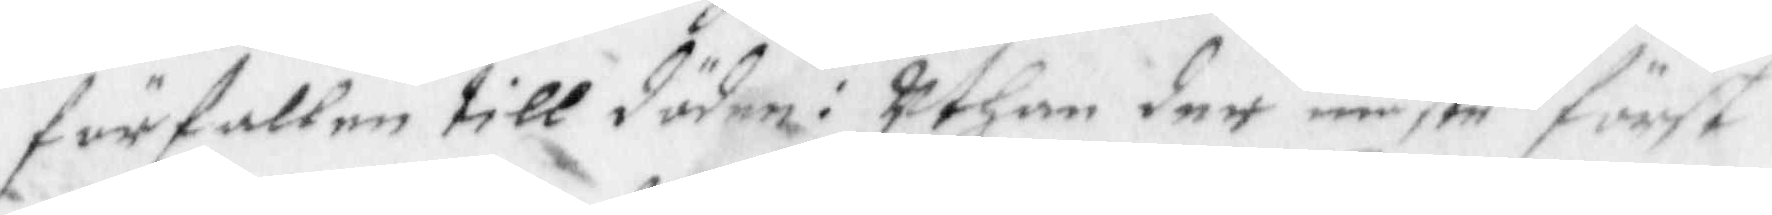förfallen till döden: Uthan der måste först
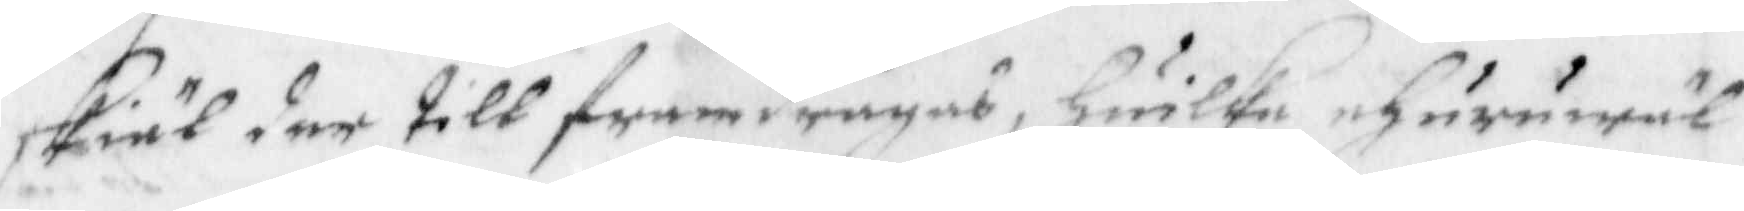skiäl der till framdragas, huike uhuruwäl
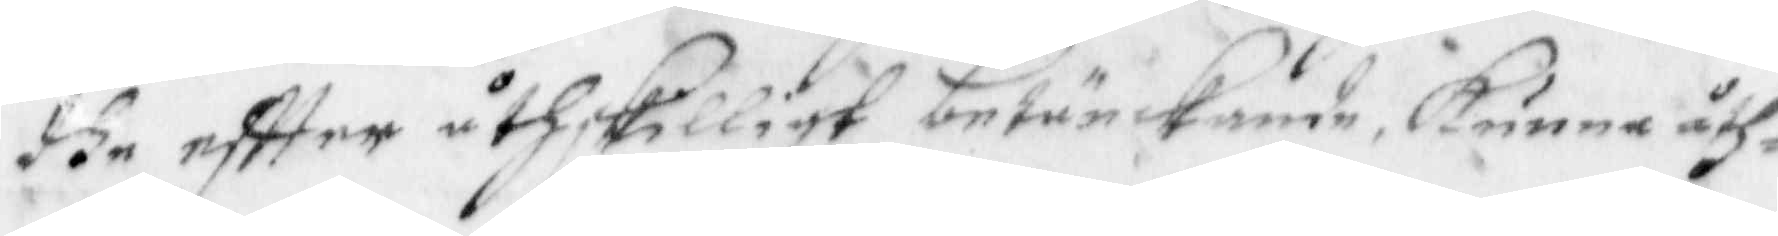dhe eftter åthskilligt betänckande, kunna åth¬
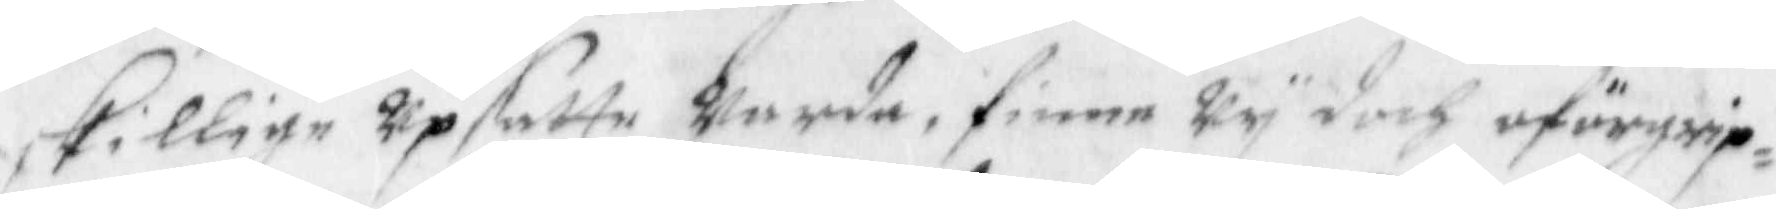skillige upsatta warda, finne Wy doch oförgrip¬
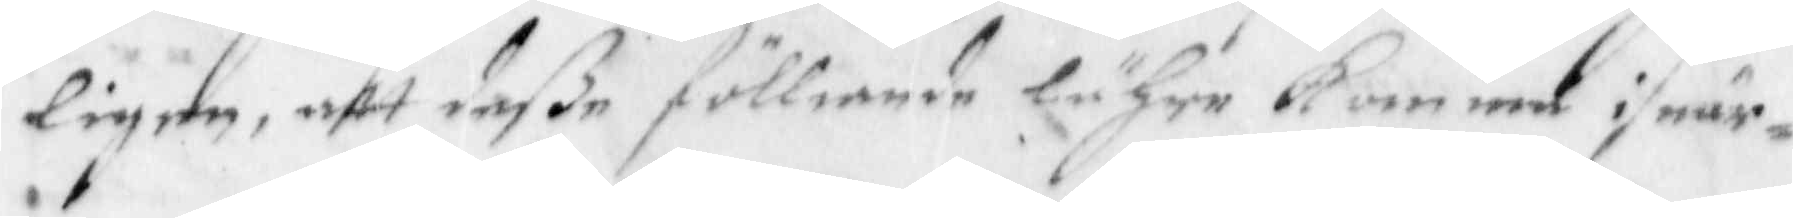ligen, att deeller den haffwer giort förbundh medh Zathan,e fölliande lähre kom med i när¬
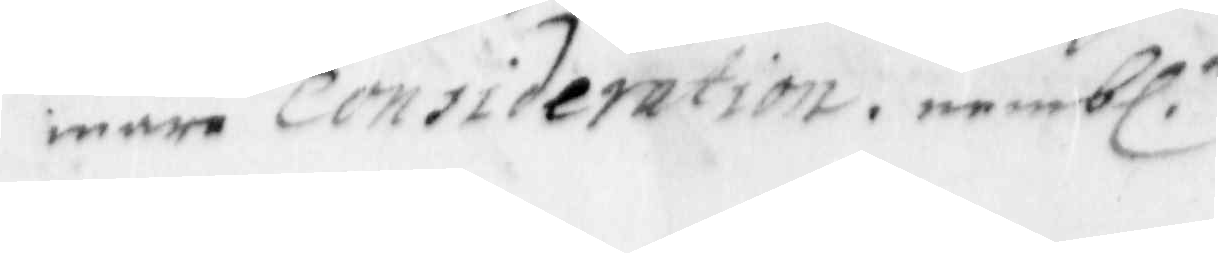waro Consideration, nembl.
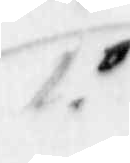.
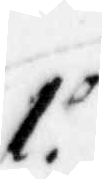1.o
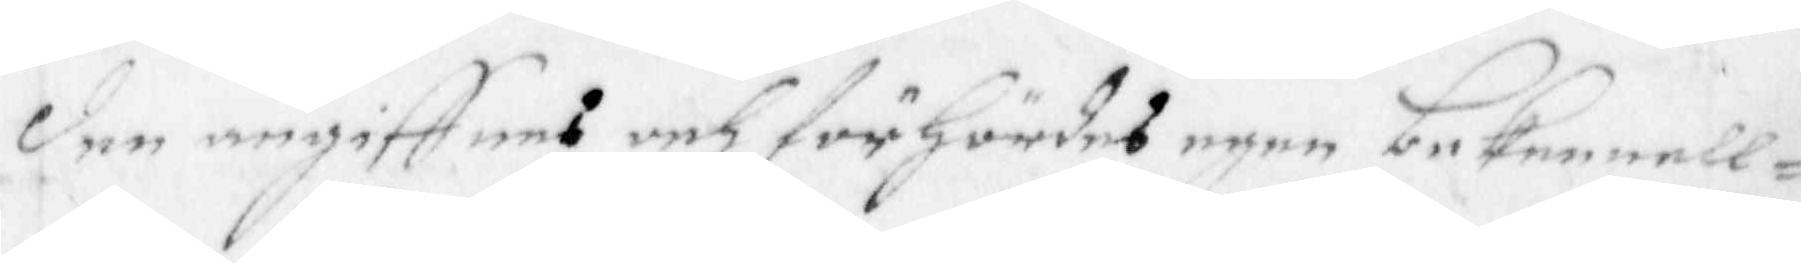den angiffnes och förhördes egen bekeenell¬
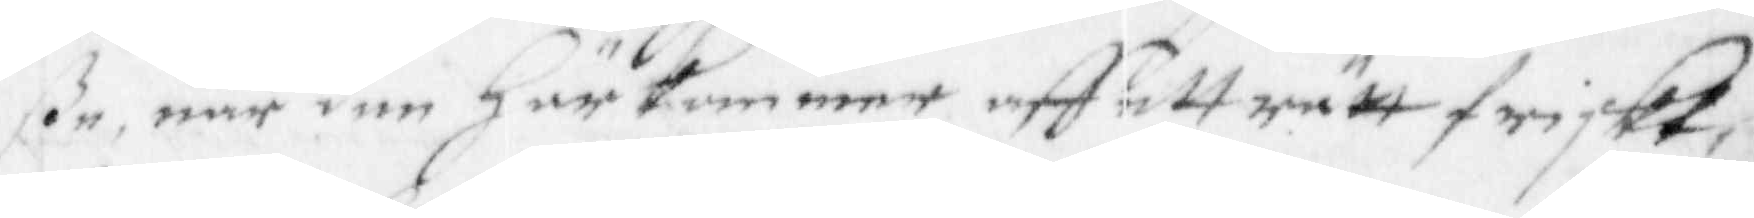ße, när den Härkommer aff ett rätt friskt,
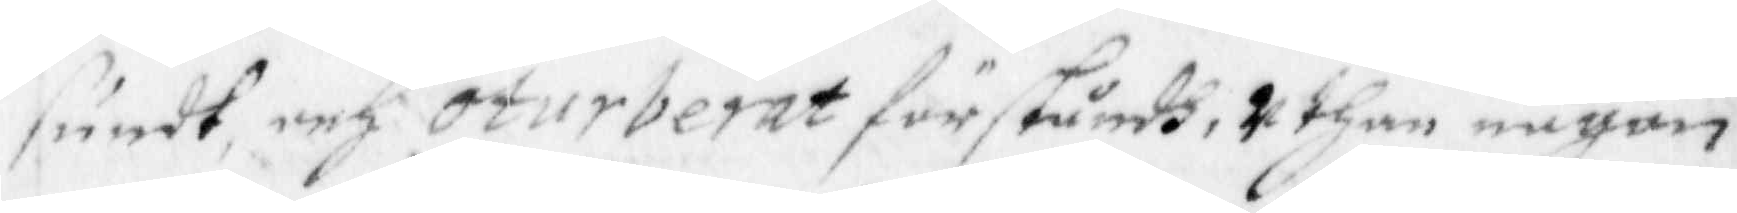sundt och oturberat förståndh, uthan någon
